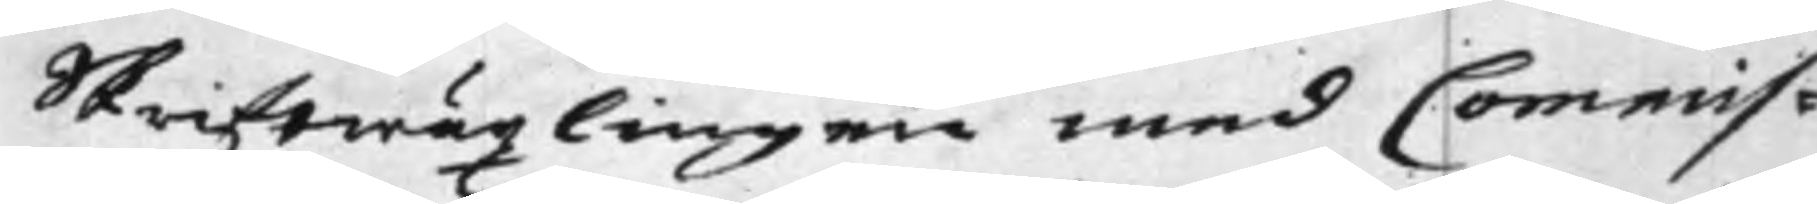Skriftwäxlingen med Commis¬
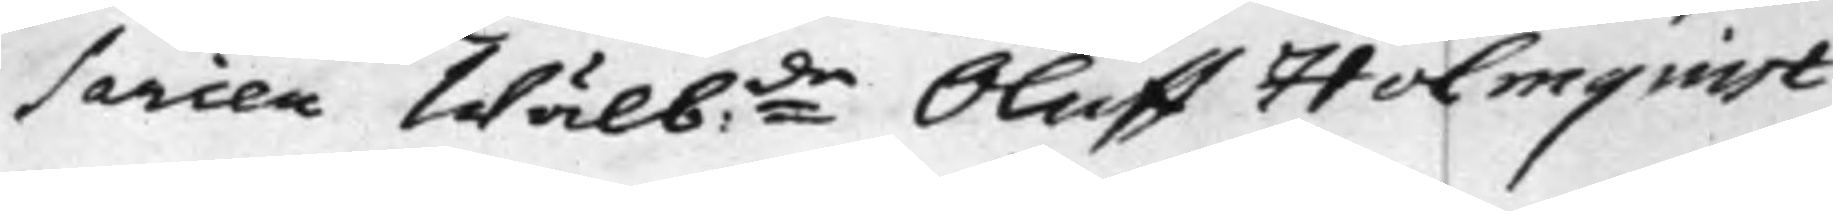sarien Wälb:de Oluff Holmquist
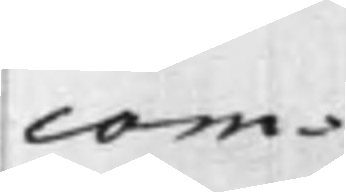com¬
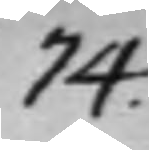74.
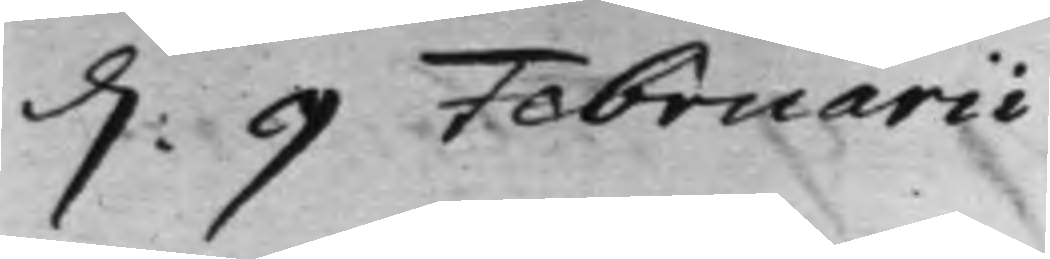d: 9 Februarii
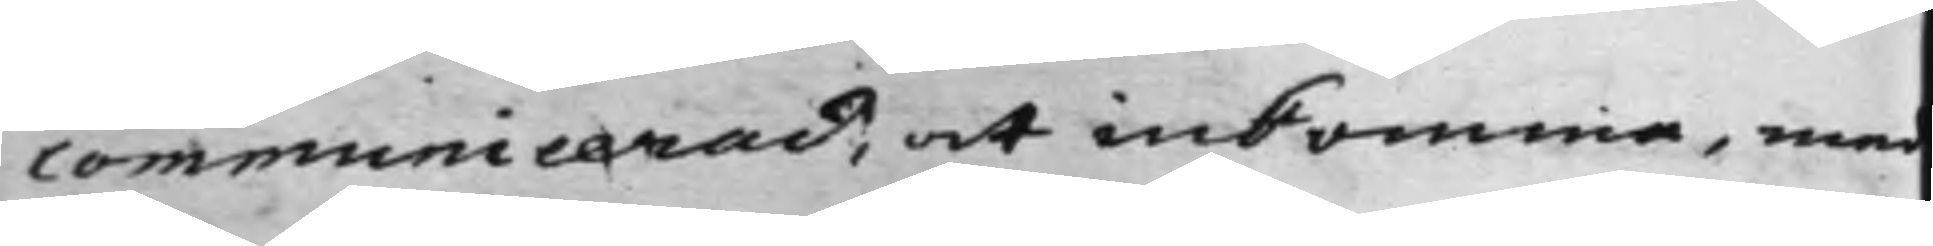communicerad, at inkomma, med
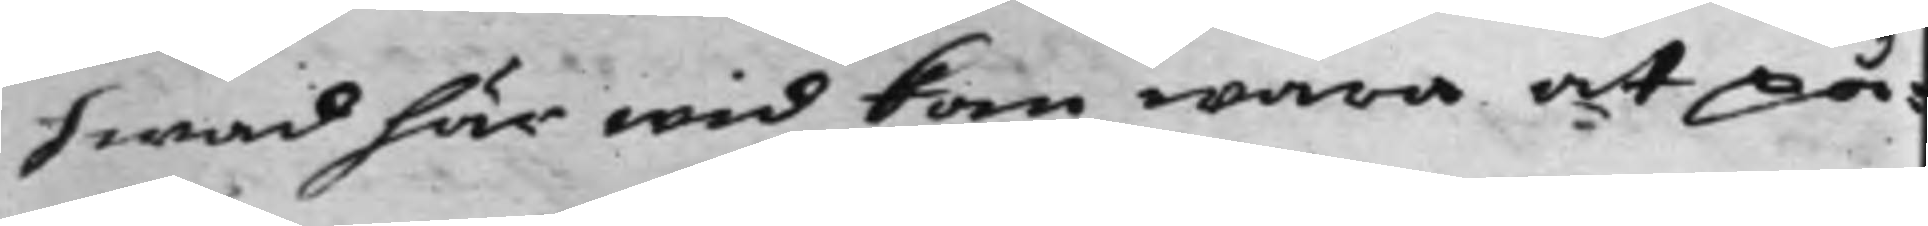hwad här wid kan wara att på¬
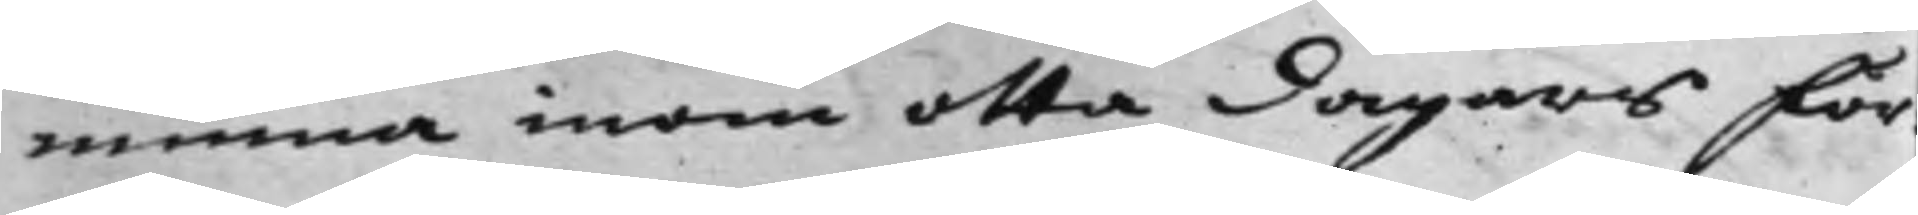minna inom otta dagars för¬
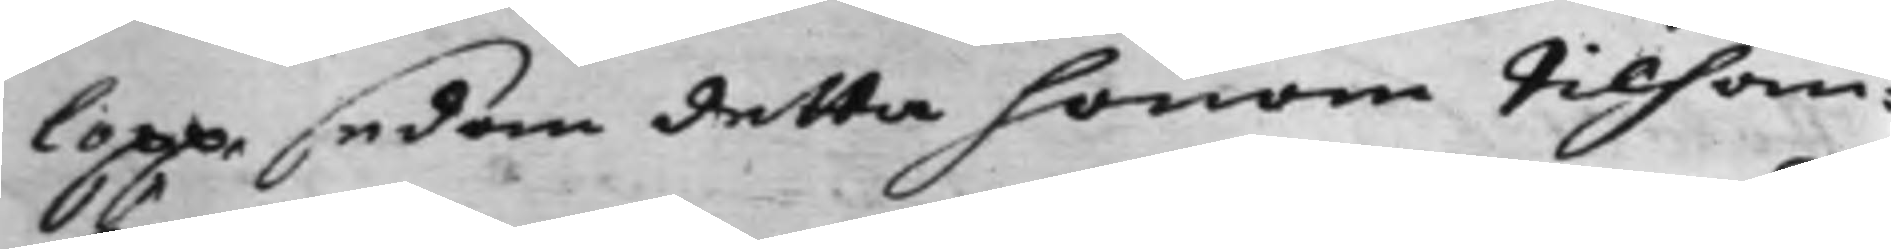lopp, sedan detta honom tilhan¬
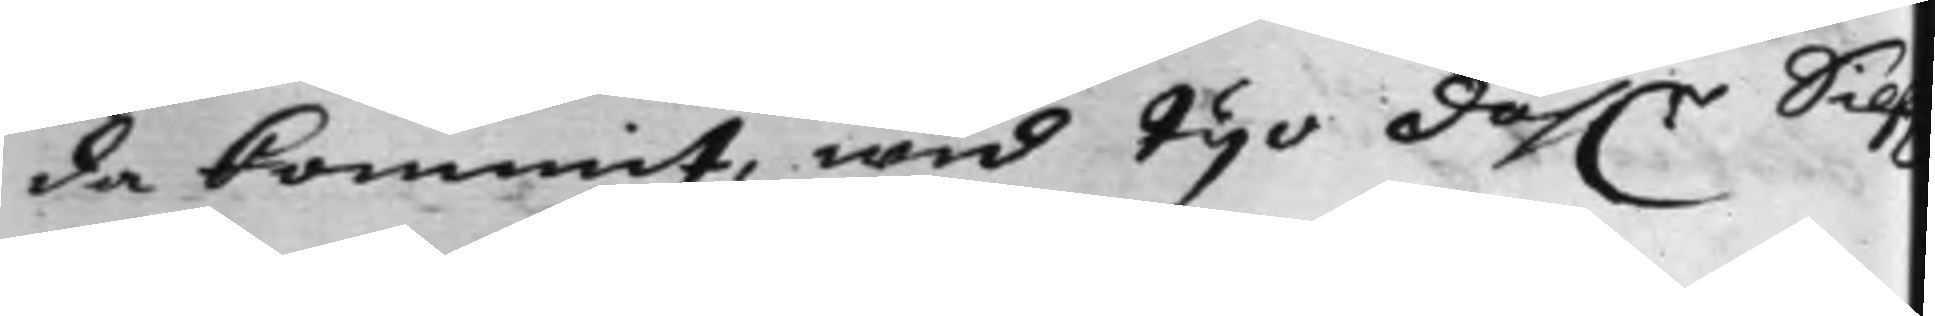da kommit, wid tijo dah:r Sil
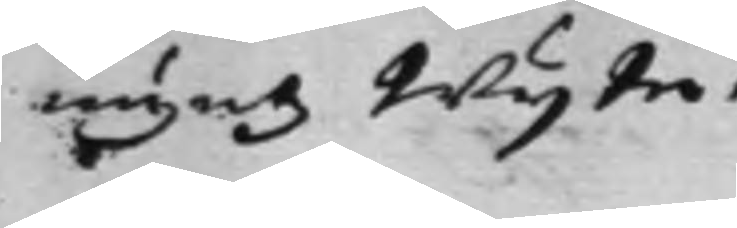myntz Wijte.
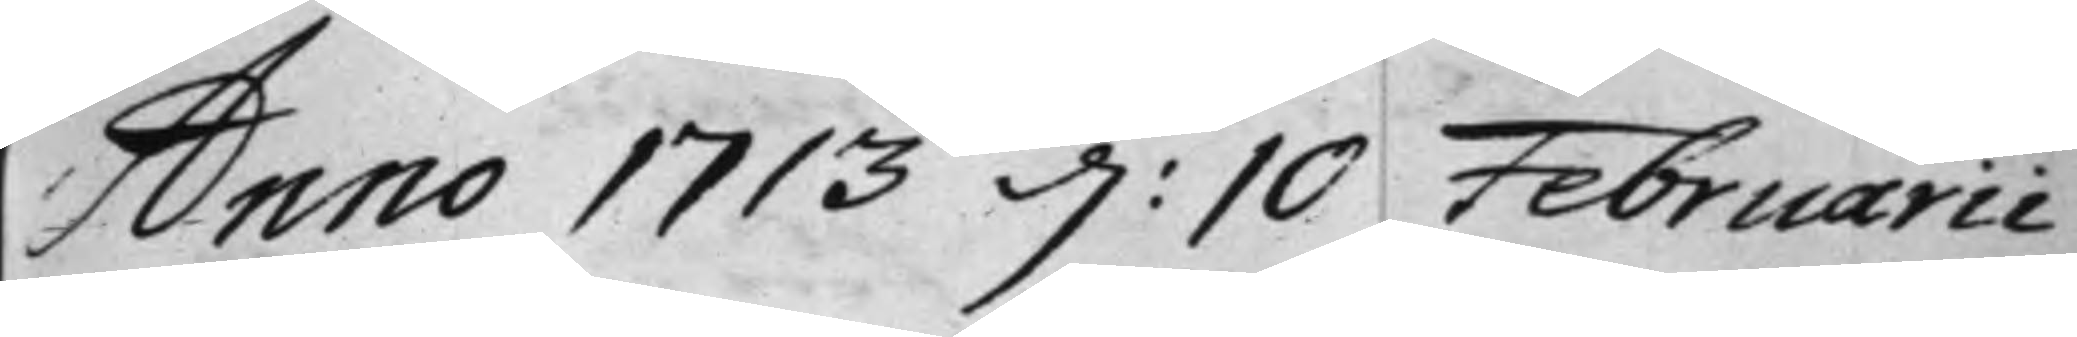Anno 1713 d: 10 Februarii
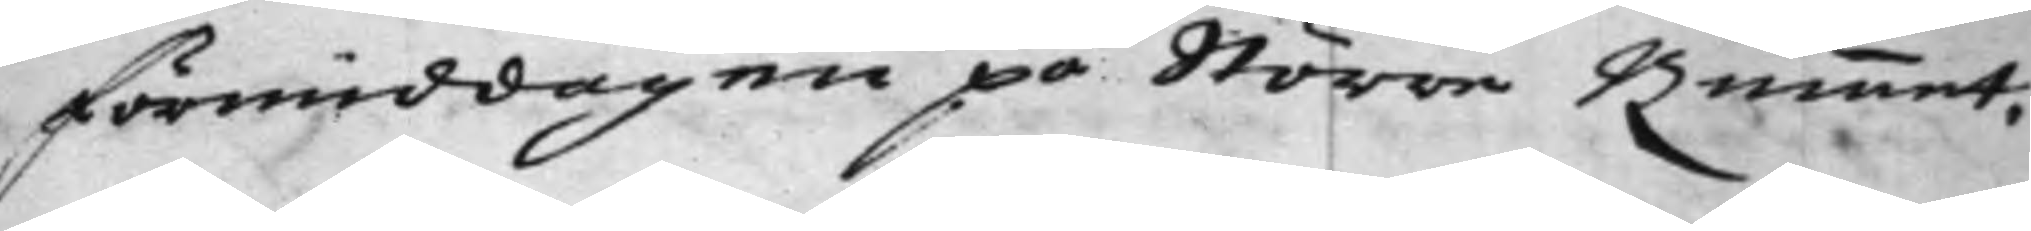förmiddagen på Större Rummet.
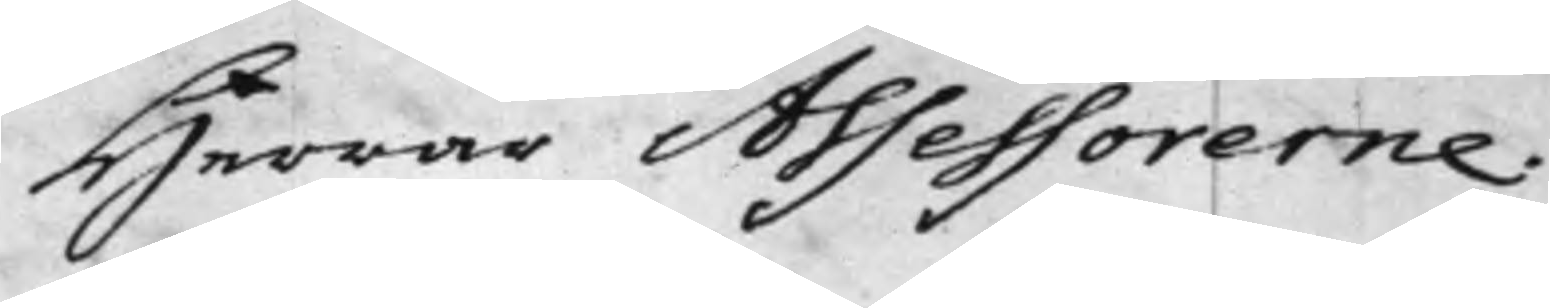Herrar Assessorerne.
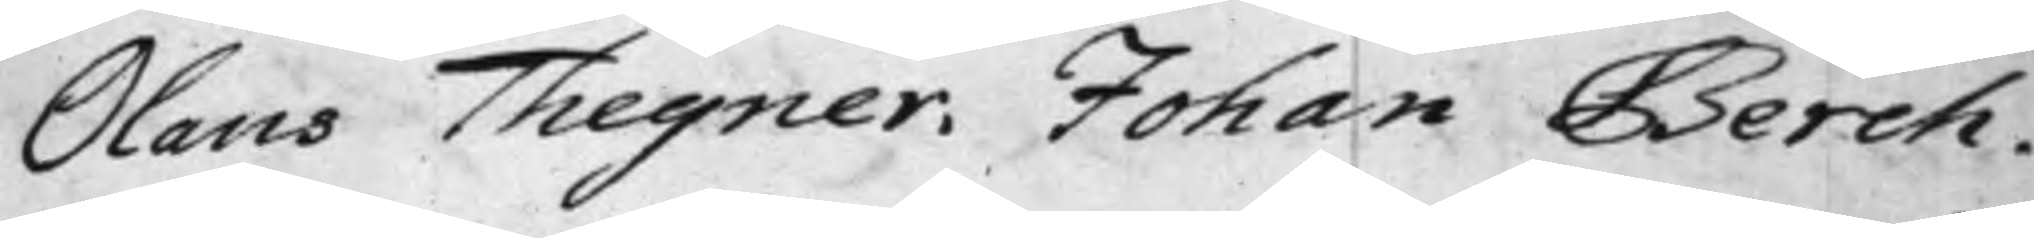Olaus Thegner. Johan Berch.
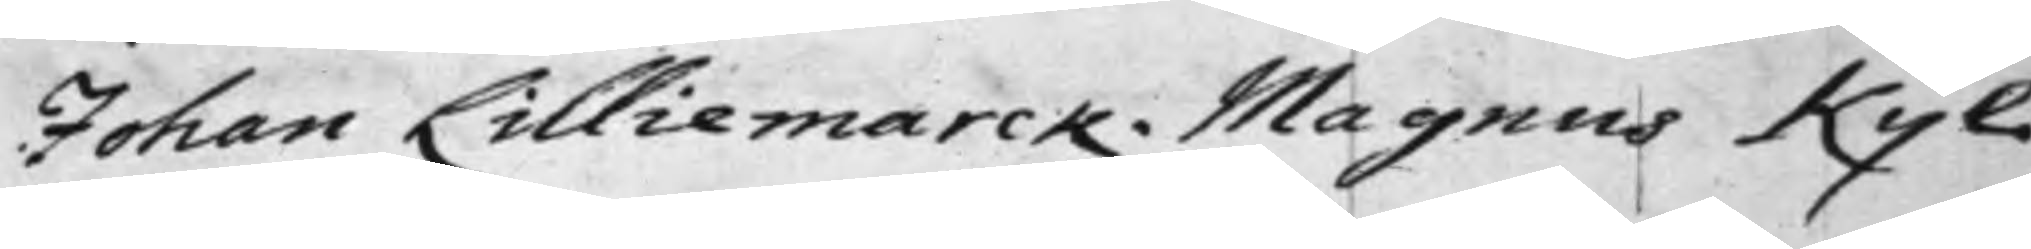Johan Lilliemarck. Magnus Kyl.
